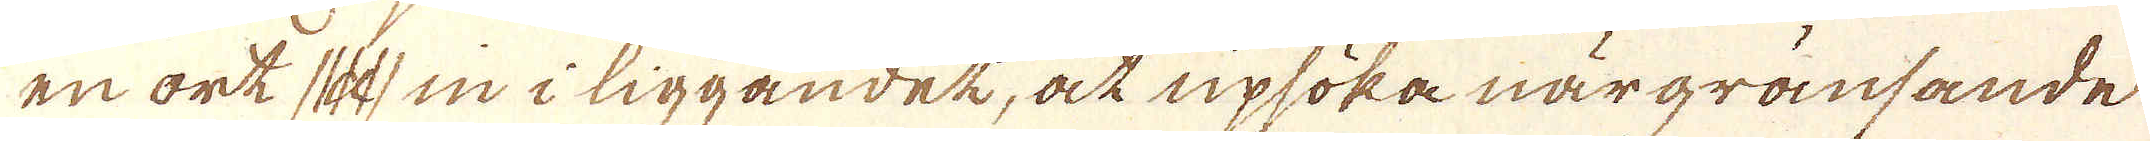en ort (d) in i liggandet, at upsöka när gransande
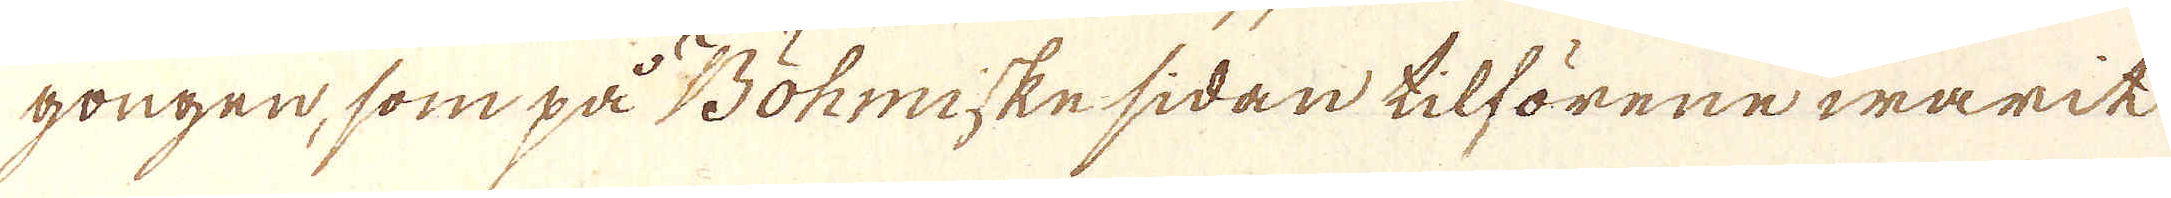gongen, som på Böhmiske sidan tilförene warit
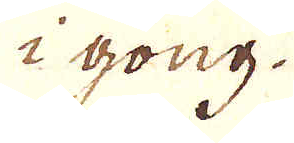i gong.
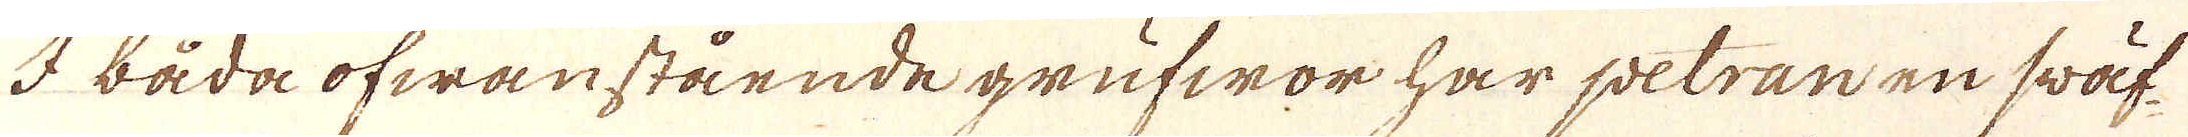I båda ofwanstående grufwor har petran en swäf-
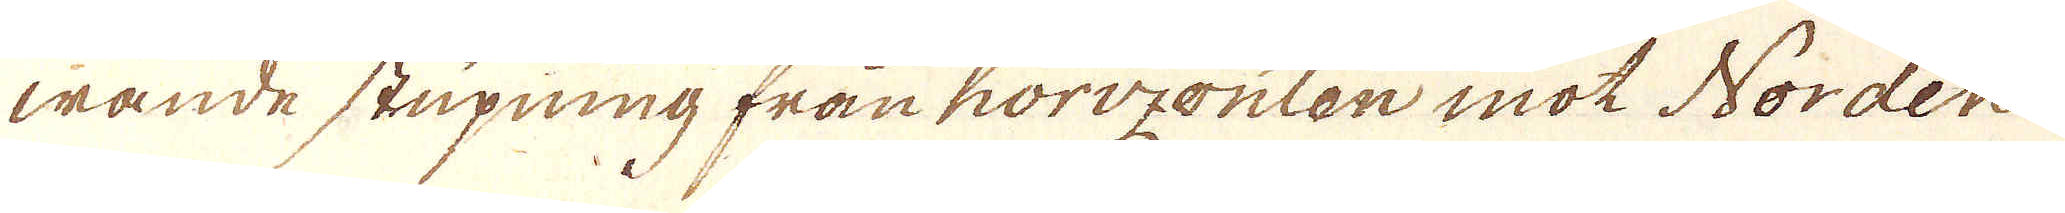wande stupning fran horizonten mot Norden.
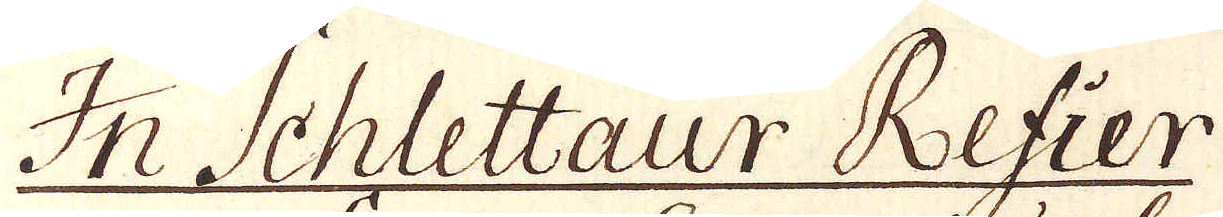In Schlettaur Refier
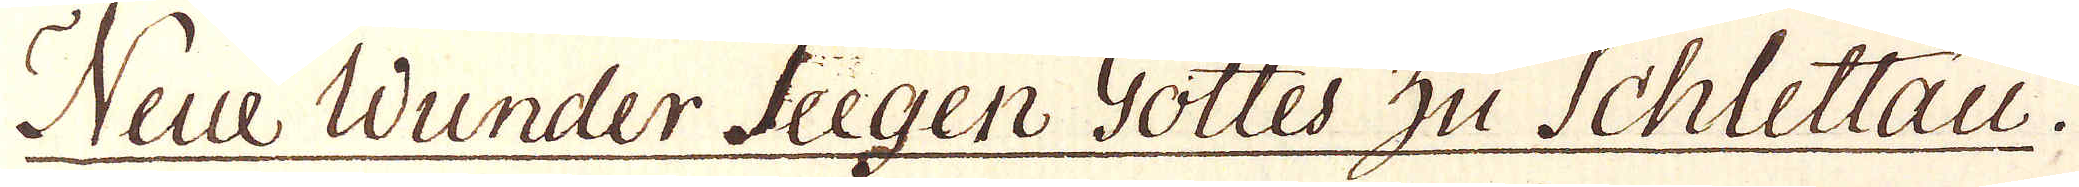Neue Wunder Zeegen Gottes zu Schlettau.
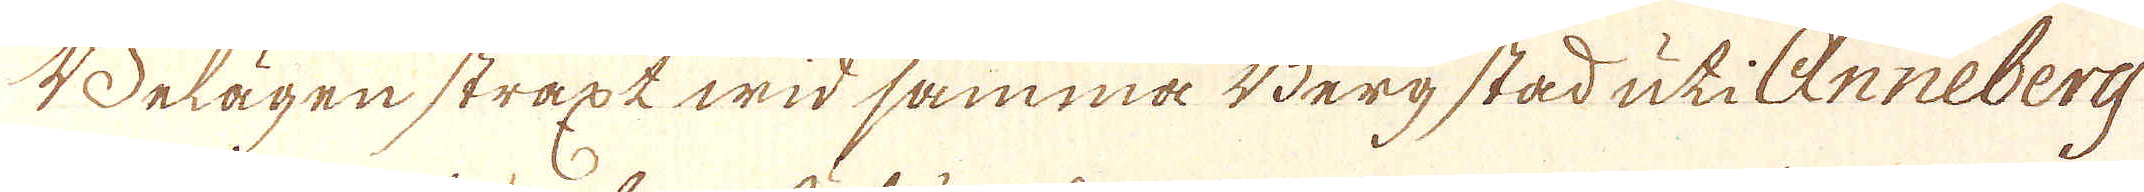Belägen straxt wid samma Berg stad uti Anneberg
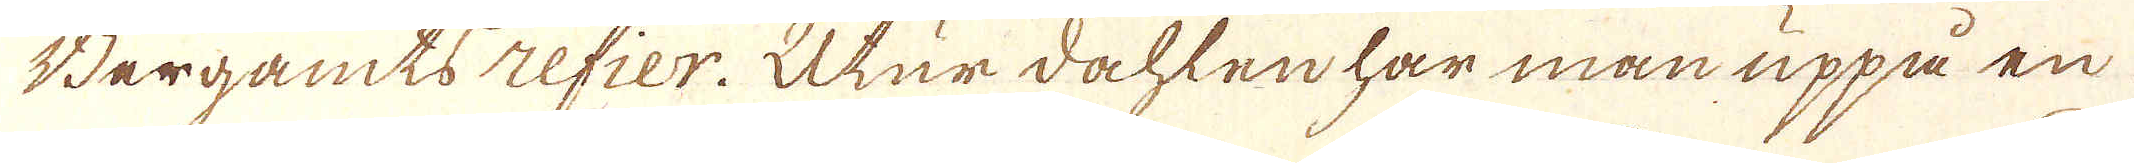Bergamts refier. Utur dahlen har man uppå en
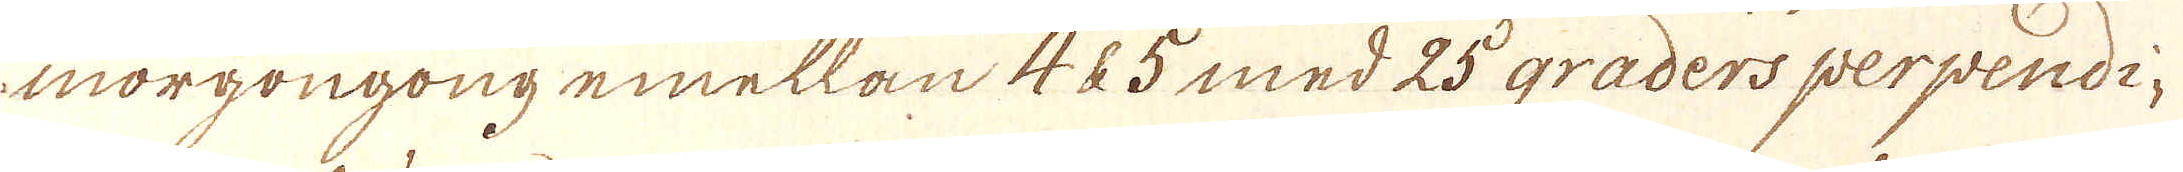morgongong emellan 4 & 5 med 25 graders perpendi-
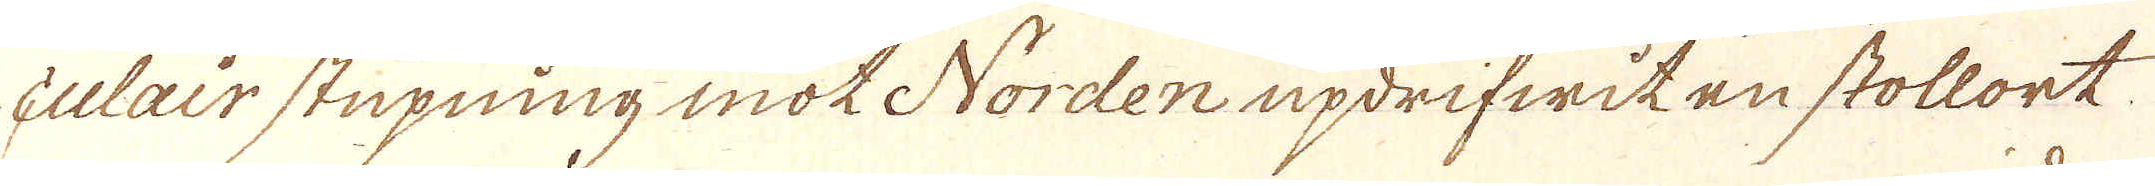culair stupning mot Norden updrifwit en stollort
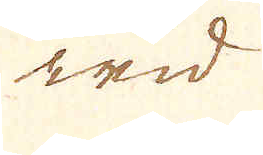wid
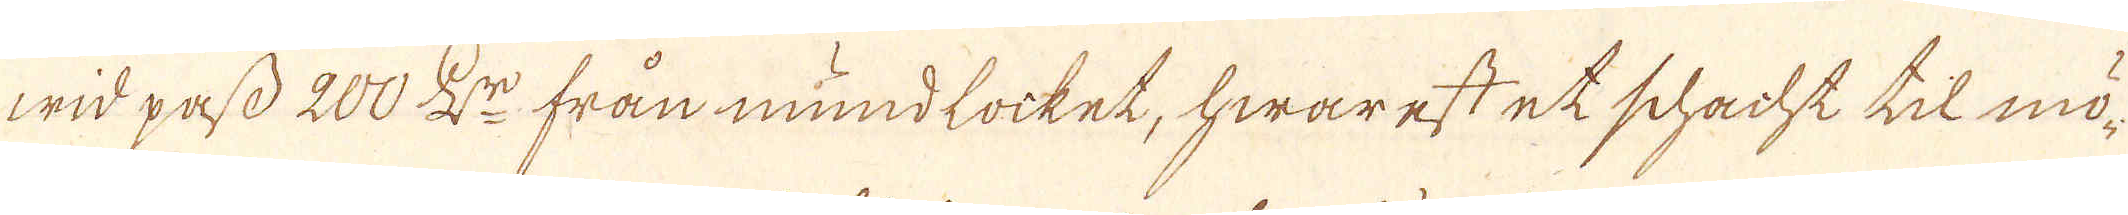wid pass 200 L:r från mundlocket, hwarest et schacht til mö-
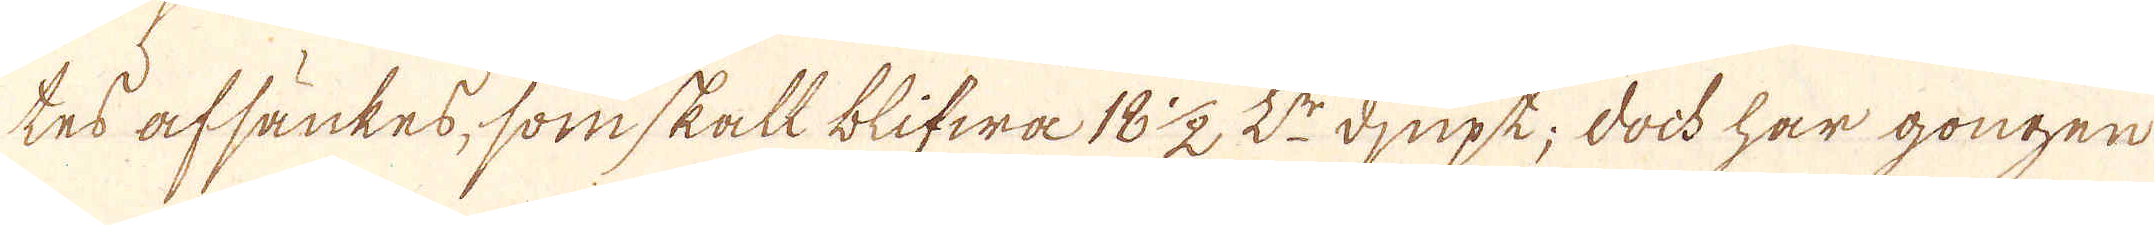tes afsänkes, som skall blifwa 18 1/2 L:r djupt; doch har gongen
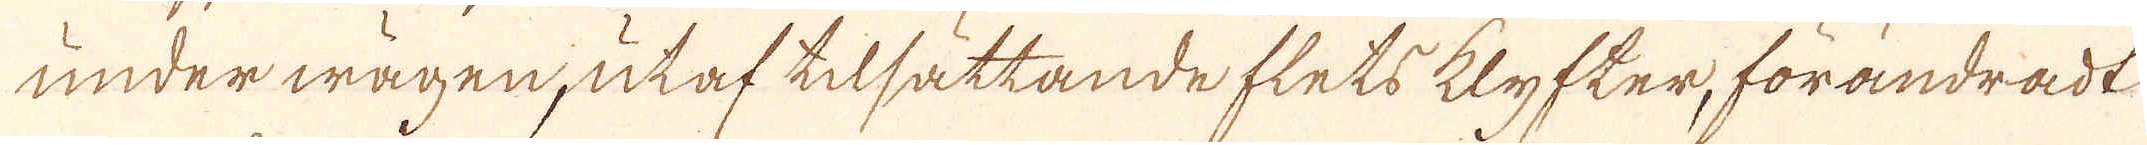under wägen, utaf tilsättande flets klyfter, förändradt
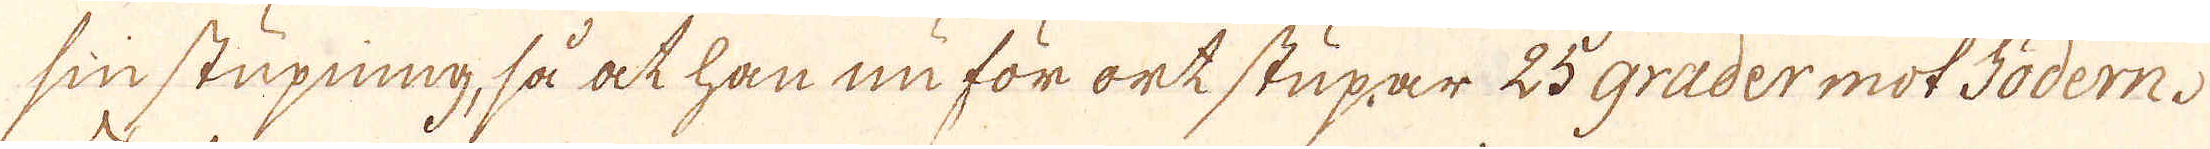sin stupning, så at han nu för ort stupar 25 grader mot södern.
